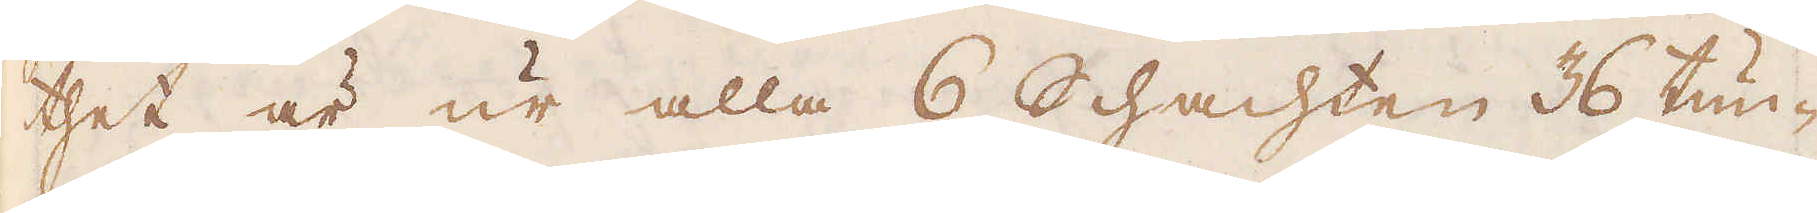thet är ur alla 6 Schachten 36 tun-
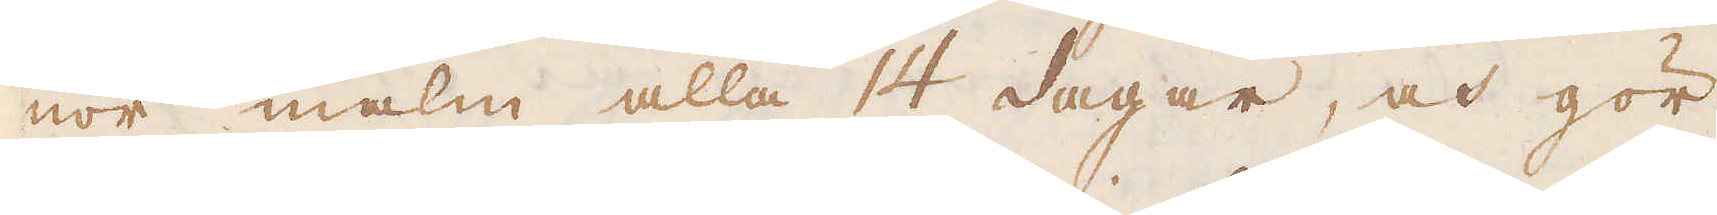nor malm alla 14 dagar, och gör
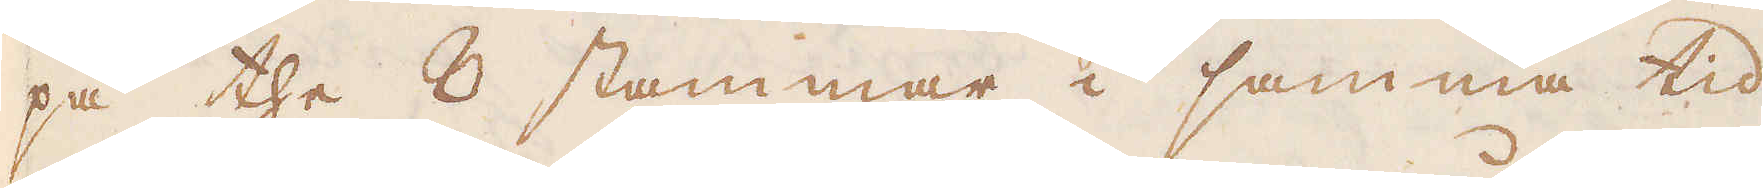på the 8 stammar i samma tid
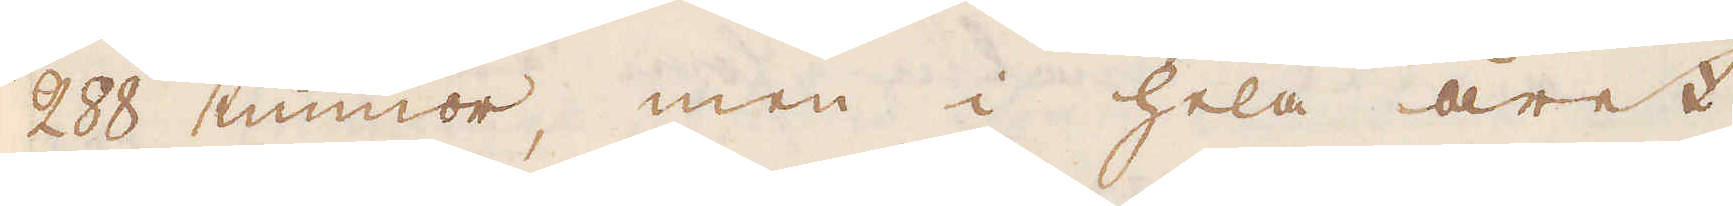288 tunnor, men i hela året
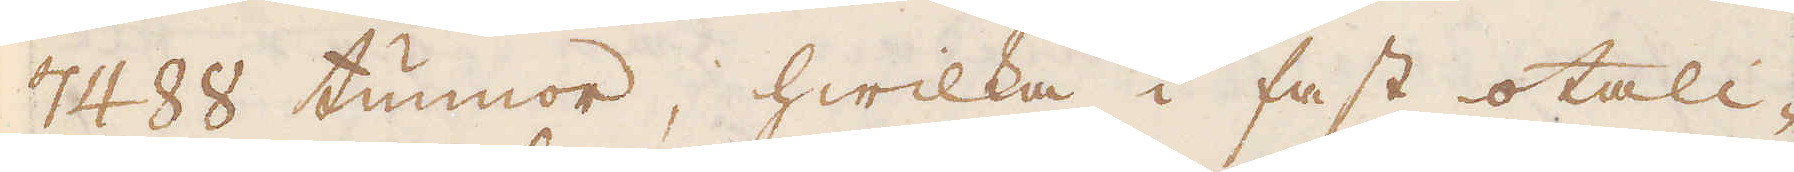7488 tunnor, hwilka i fast otali-
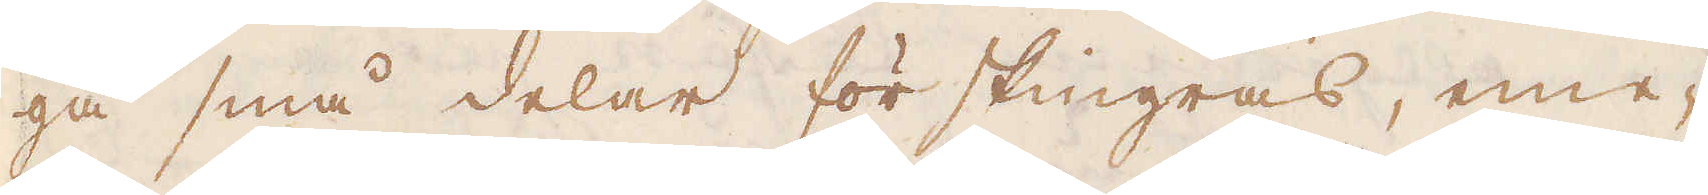ga små delar förskingras, eme-
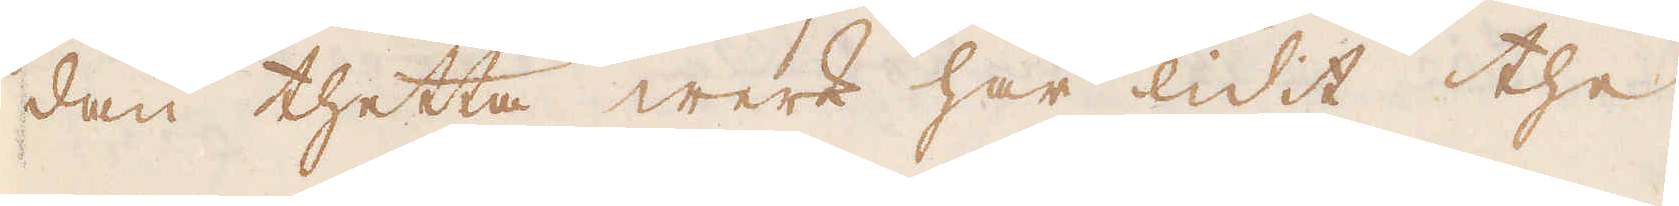dan thetta werk har lidit the
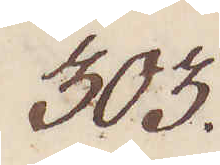303.
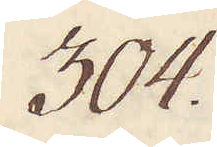304.
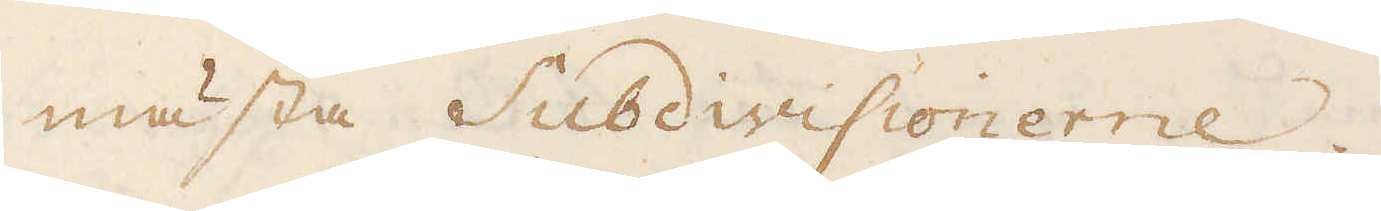mästa Subdivisionerne.
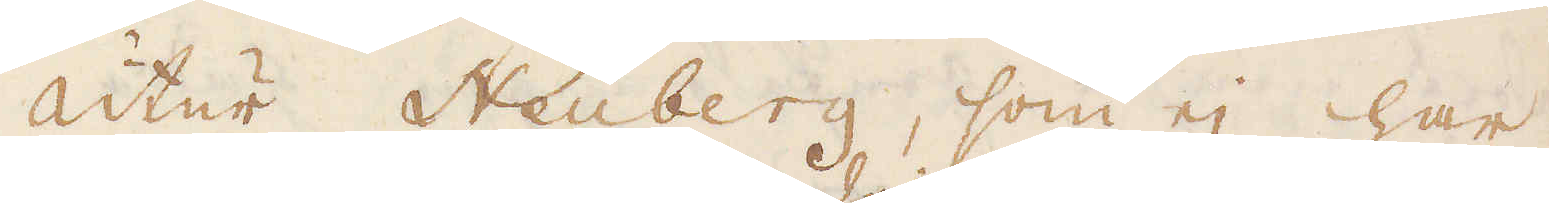Utur Neüberg, som ej har
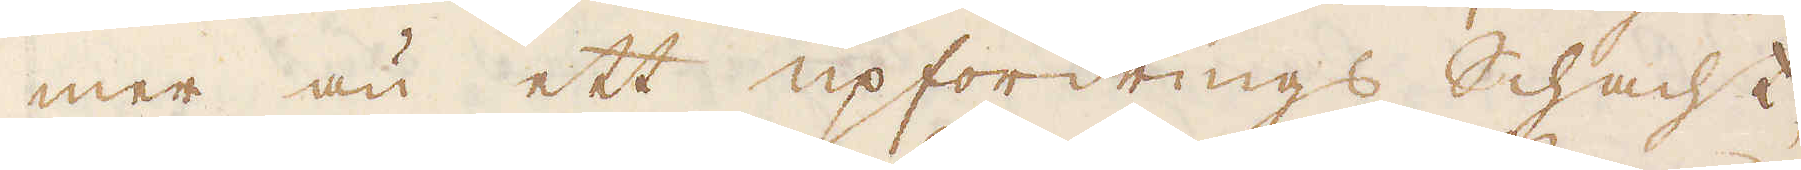mer än ett upfordrings Schacht
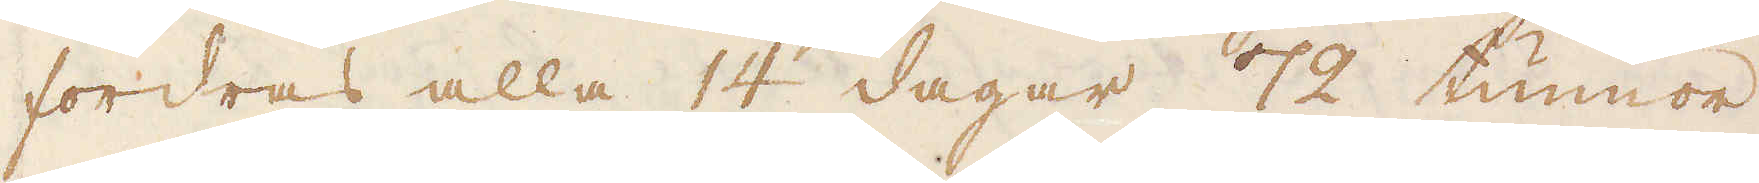fordras alla 14 dagar 72 tunnor
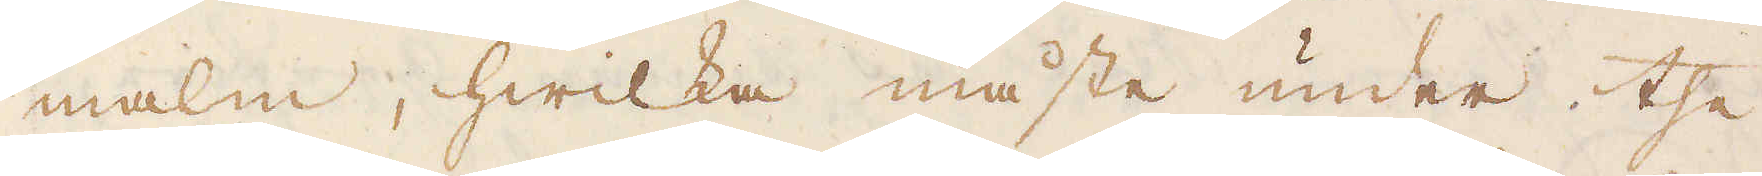malm, hwilka måste under the
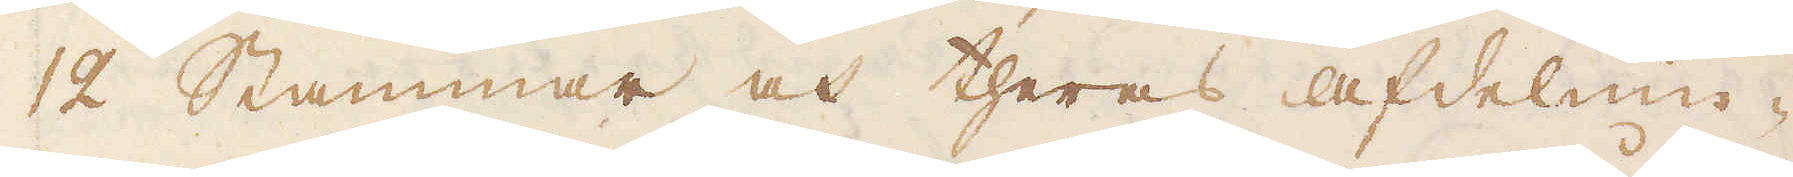12 Stammar och theras afdelnin-
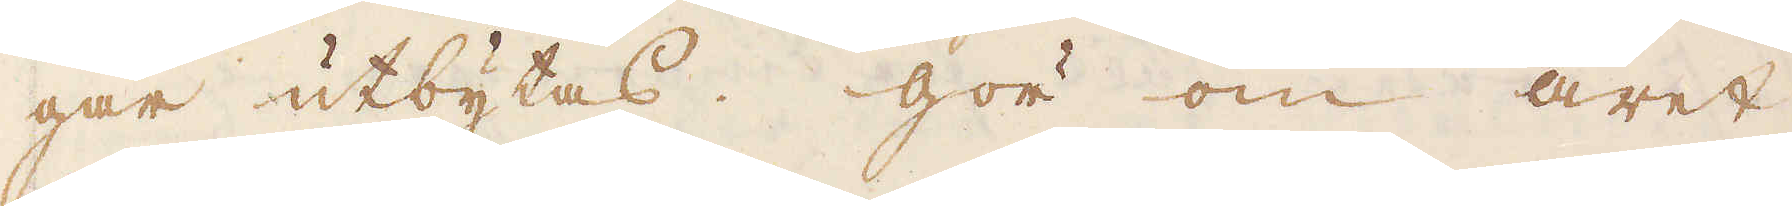gar utbytas. Gör om året
